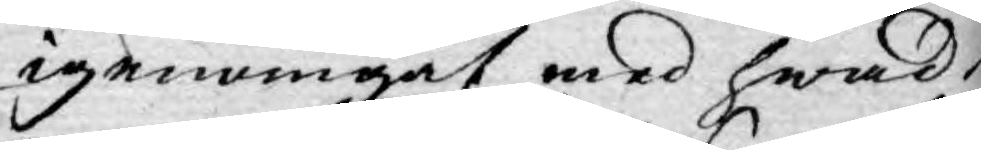igenomgåt med hwad
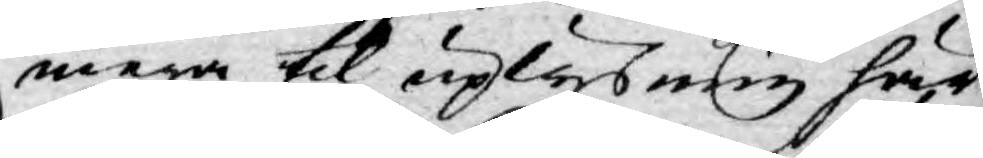mera til uplysning här
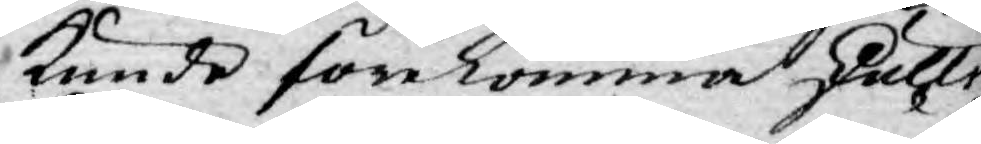kunde förekomma skulle
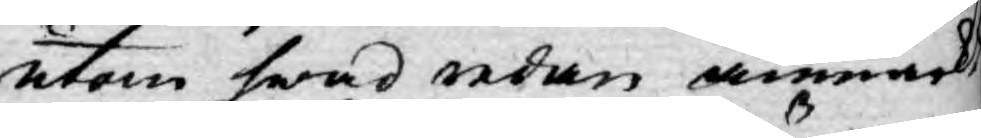utan hwad redan anmärkt
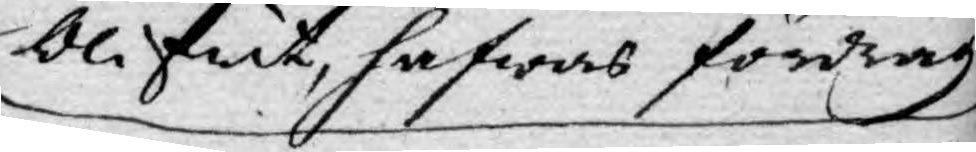blifwit, hafwas fördrag.
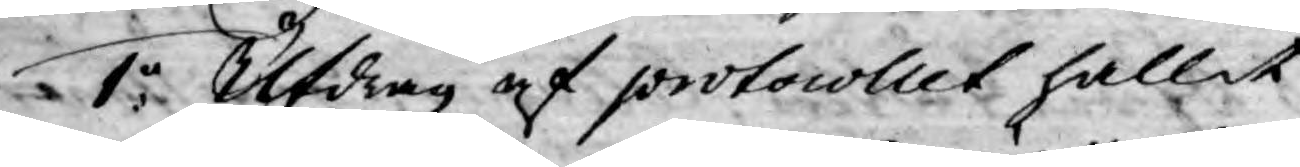1:o Utdrag af protocollet hållit
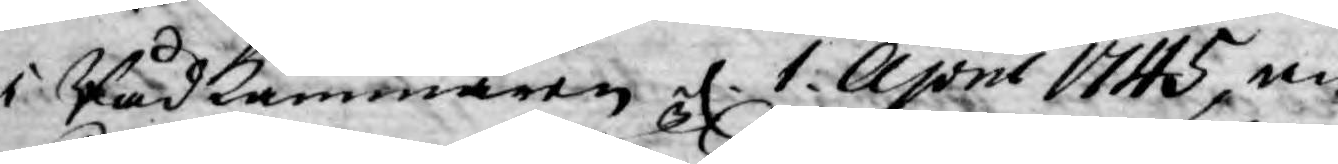i Rådkammaren d. 1 April 1745, an¬
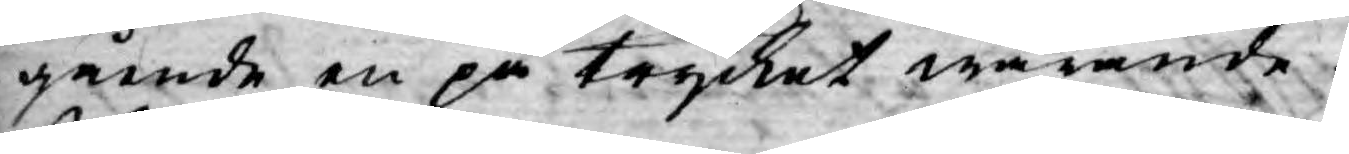gående en på trycket warande
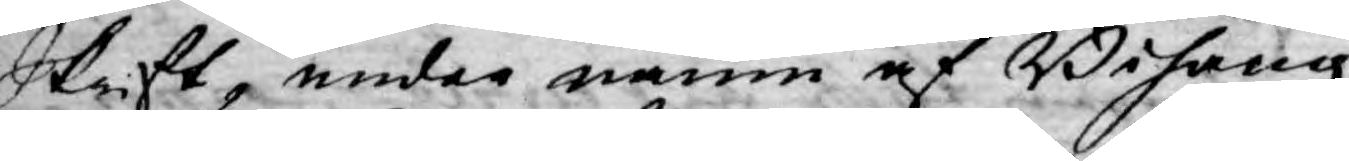Skrift, under namn af Bihang
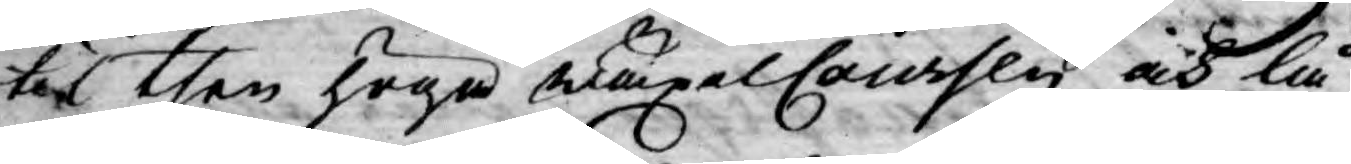til then höga WäxelCoursen och lå¬
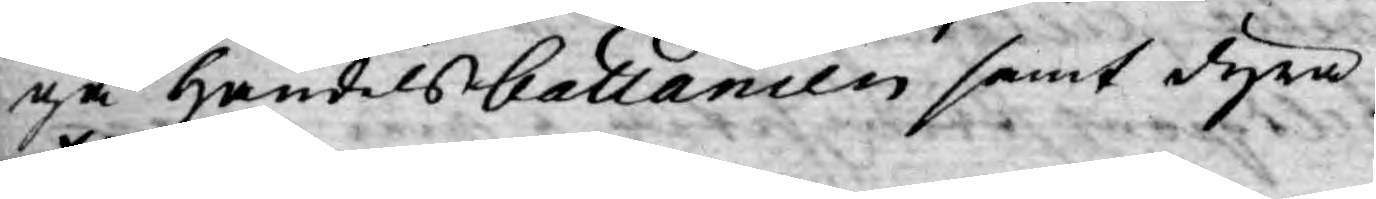ga Handelsballancen samt dyra
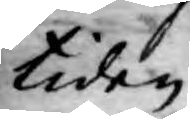tiden.
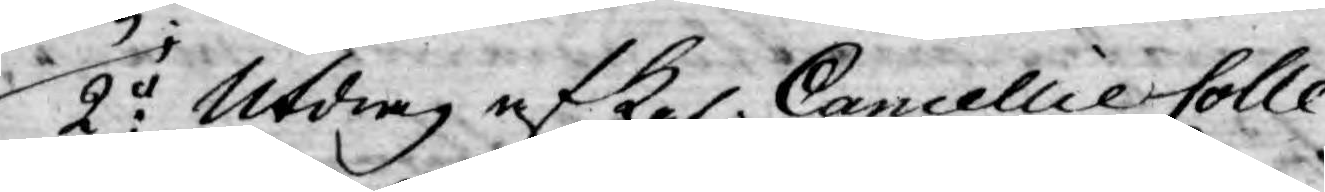2:o Utdrag af Kgl. Cancellie Colle¬
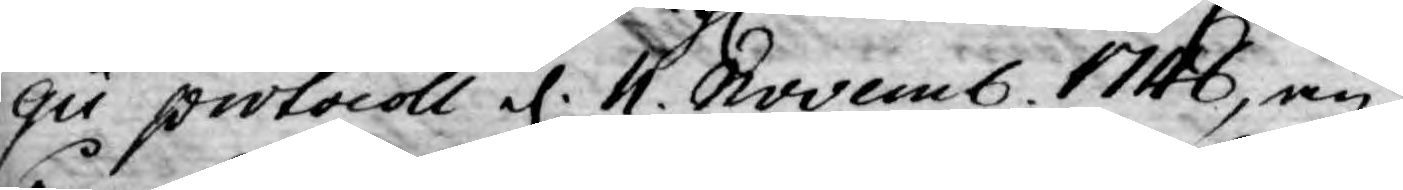gii protocoll d. 11. Novemb. 1746, an¬
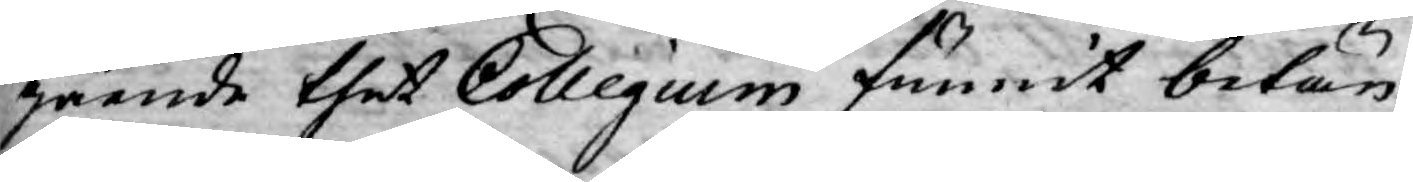gående thet Collegium funnit betän¬
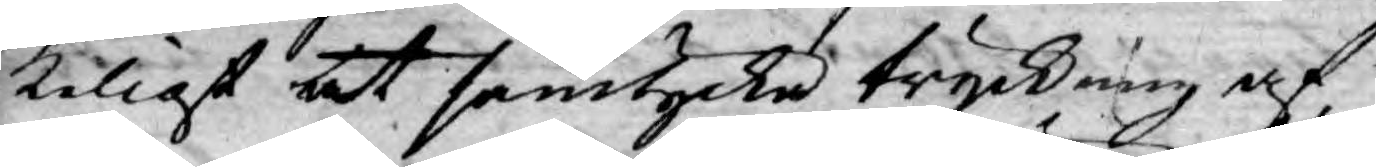keligt at samtycka tryckning af
